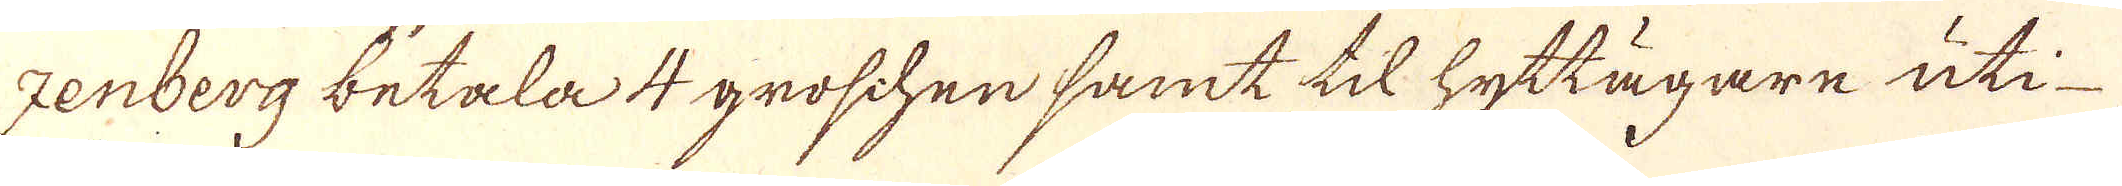zenberg betala 4 groschen samt til hyttägare uti
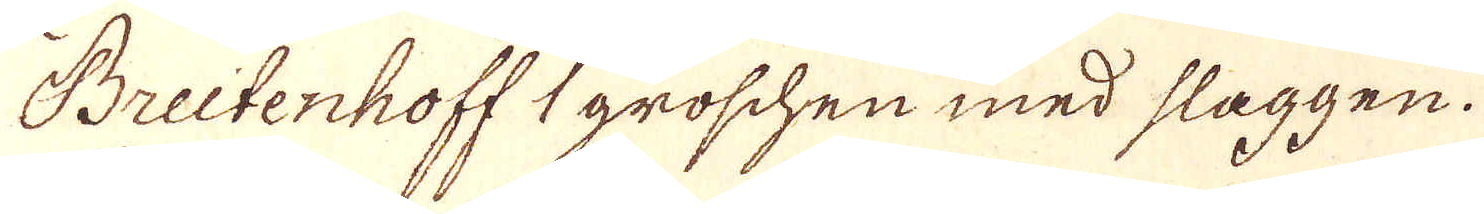Breitenhoff groschen med slaggen.
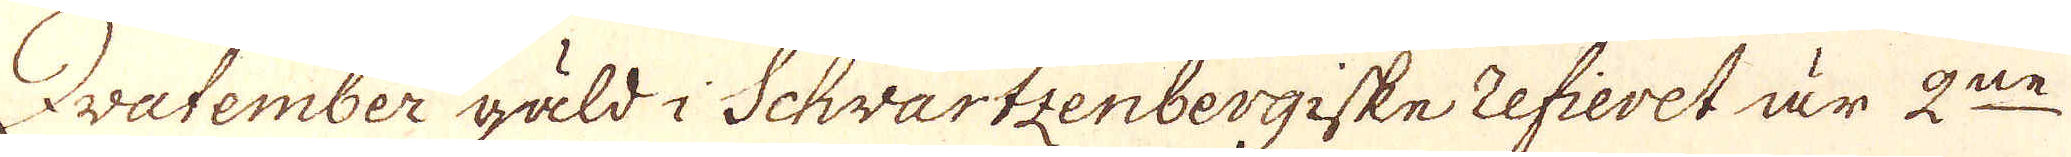Zwatember gäld i Schwartzenbergiske refieret är 2:ne
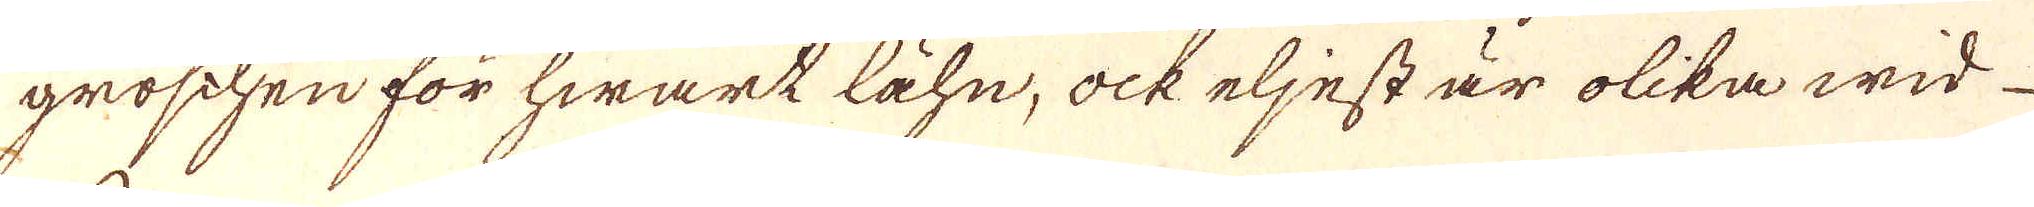groschen för hwart lähn, ock eljest är olika wid
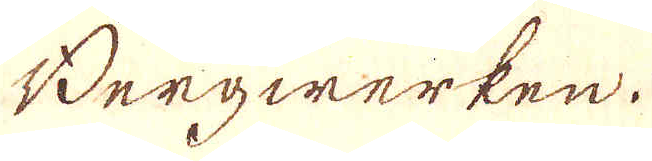Bergwerken.
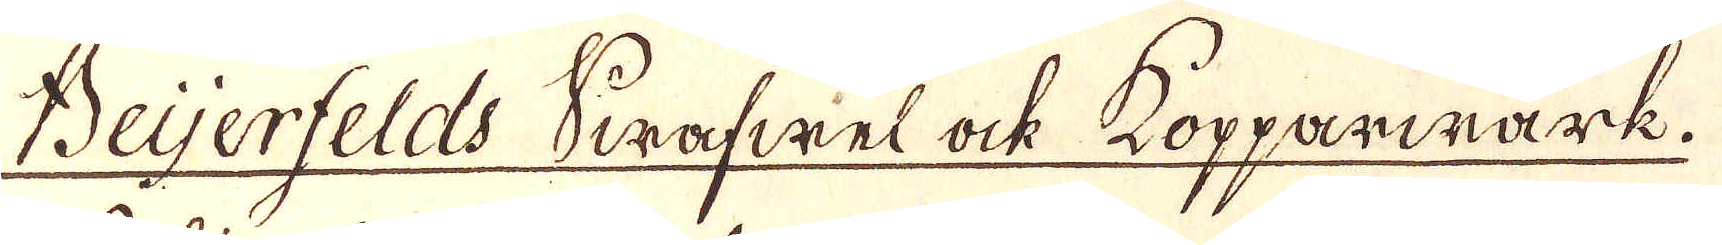Beijerfelds Swafwel ock Kopparwärk.
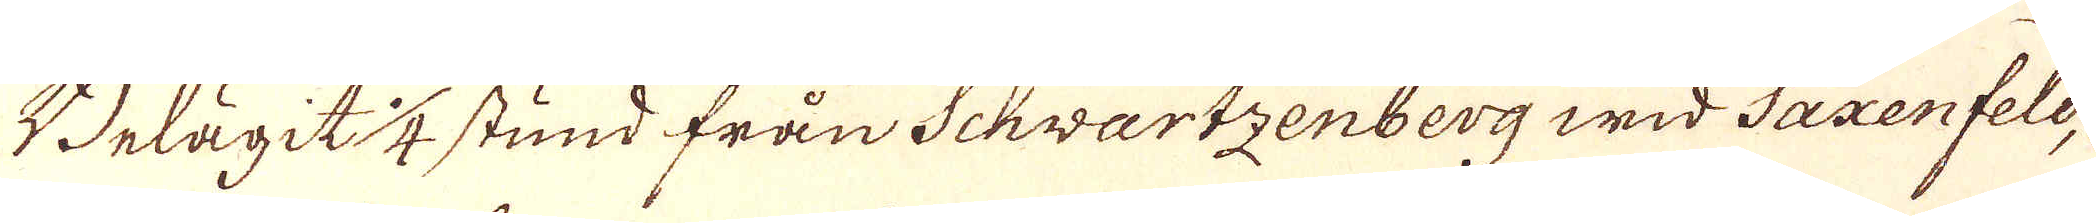Belägit 1/4 stund från Schwartzenberg wid Saxenfeld,
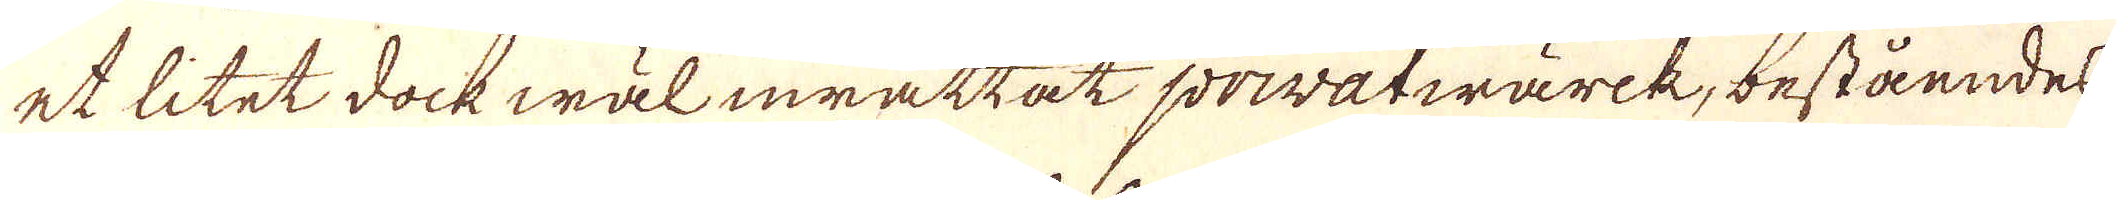et litet dock wäl inrättat privatwärck, beståendes
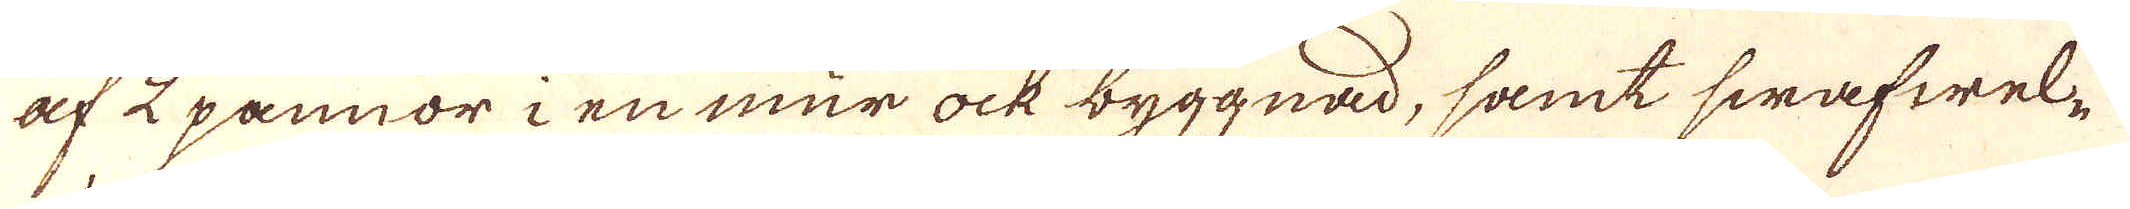af 2 pannor i en mur ock byggnad, samt swafwel-
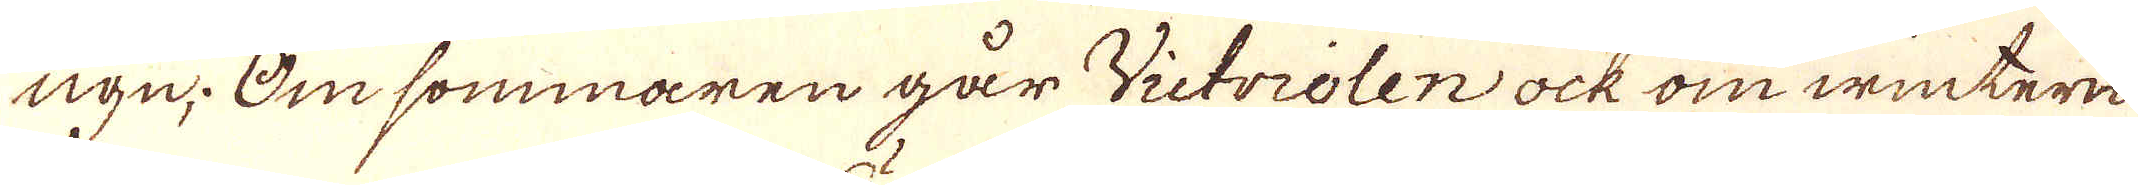ugn. Om sommaren går Victriolen ock om wintern
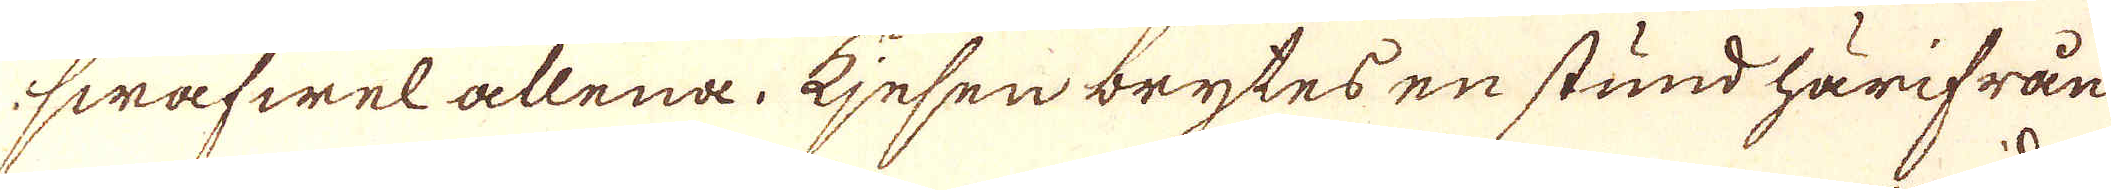swafwel allena. Ejesen brytes en stund härifrån
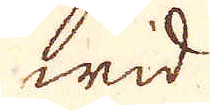wid
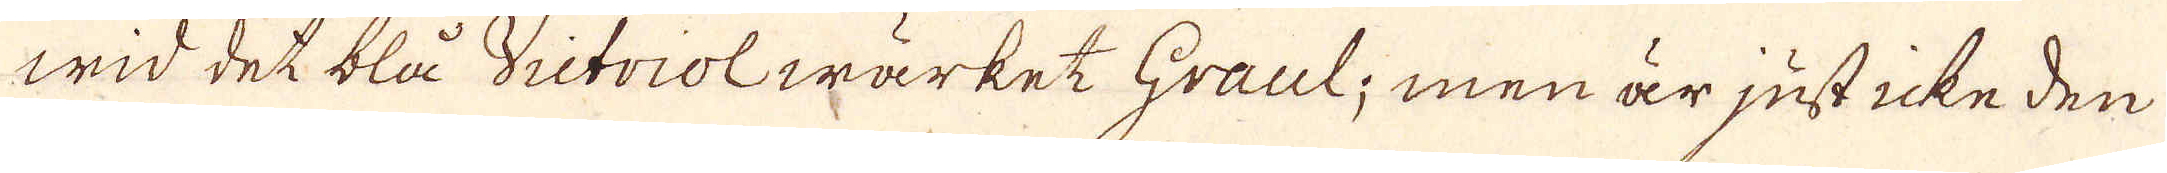wid det blå Victriolwärket Graul; men är just icke den
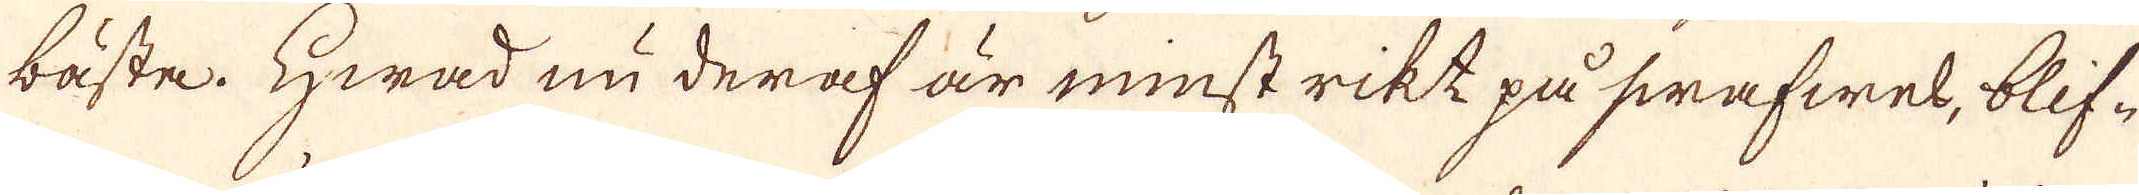bästa. Hwad nu deraf är minst rikt på swafwel, blif-
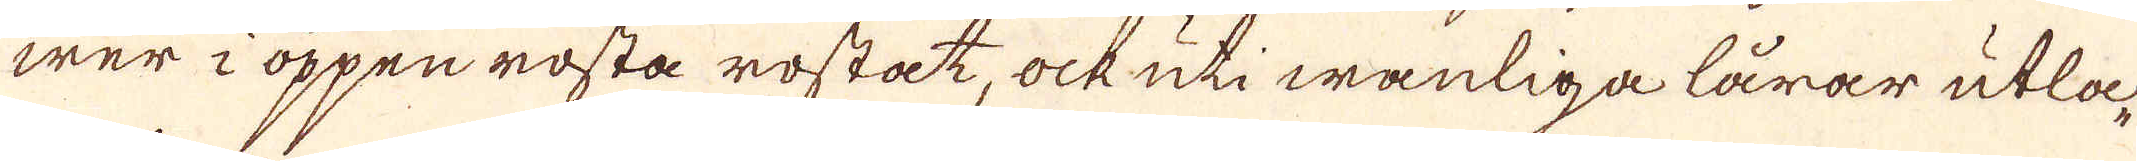wer i öppen rosta rostat, ock uti wanliga lårar utla-
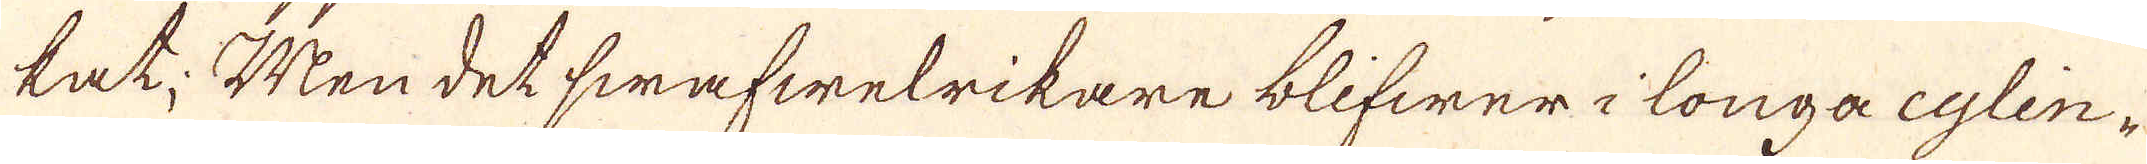kat. Men det swafwelrikare blifwer i longa eglin-
